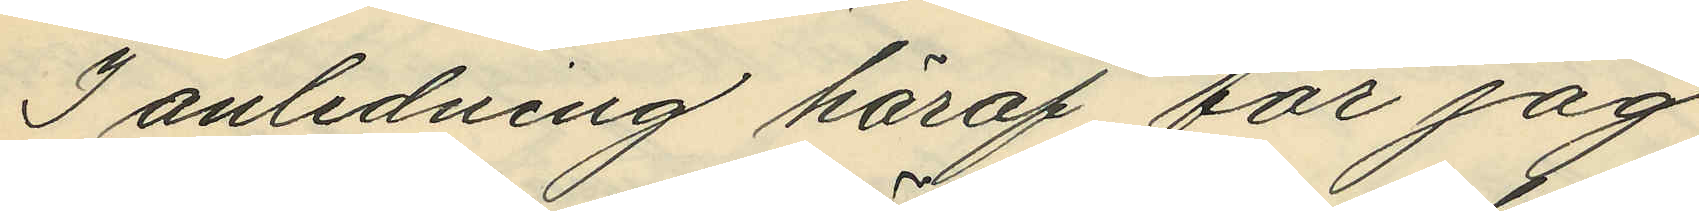I anledning häraf, får jag
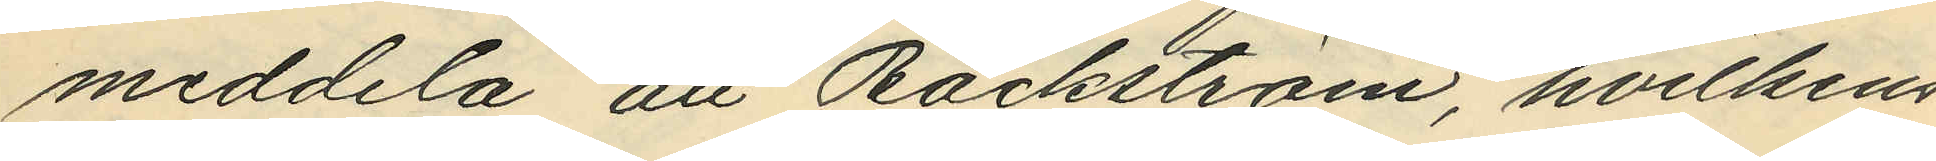meddela att Bäckström, hvilkens
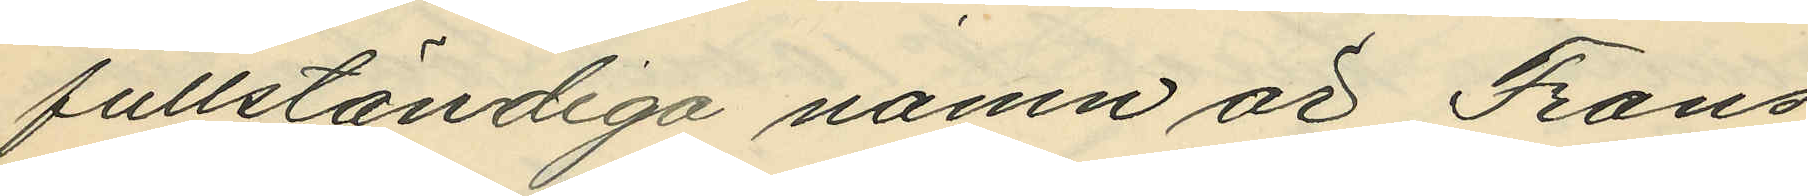fullständiga namn är Frans
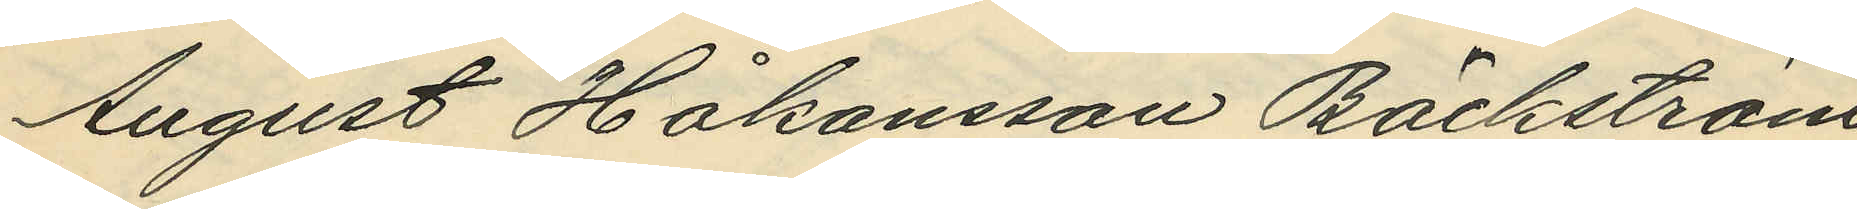August Håkansson Bäckström
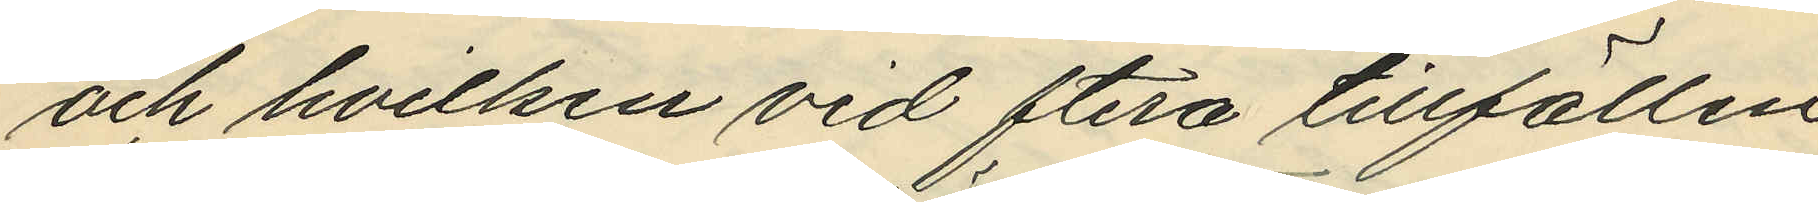och hvilken vid ftera tillfällen
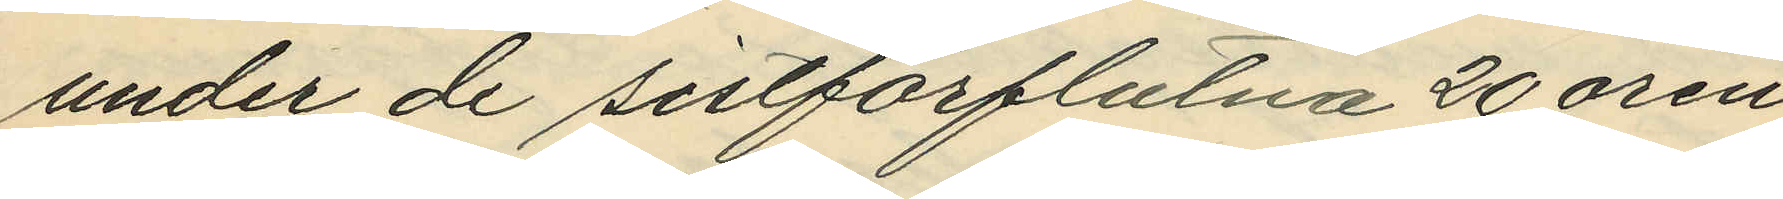under de sistförflutna 20 åren
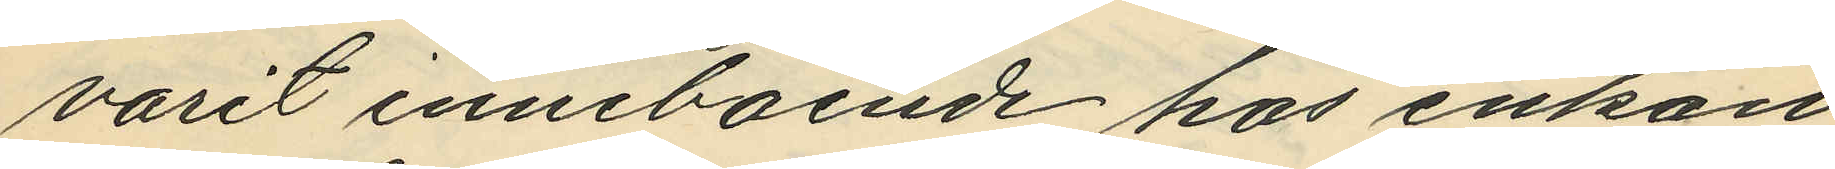varit inneboende hos enkan
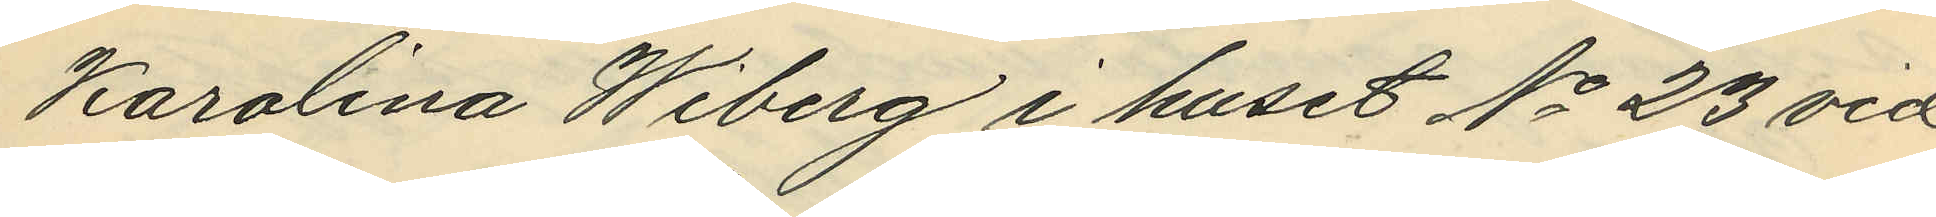Karolina Wiberg i huset No 23 vid
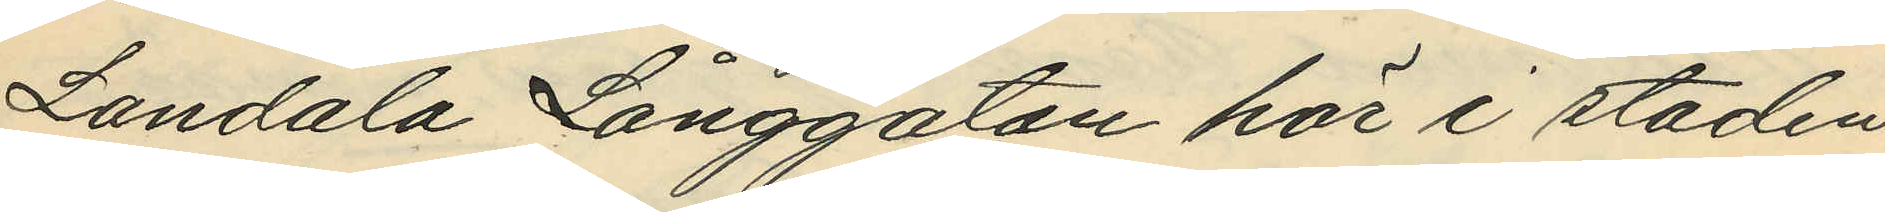Landala Långgatan här i staden
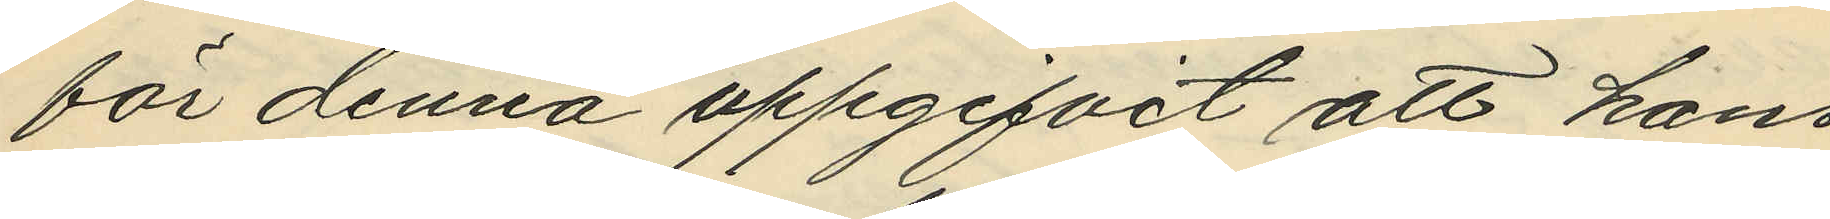för denna uppgifvit att hans
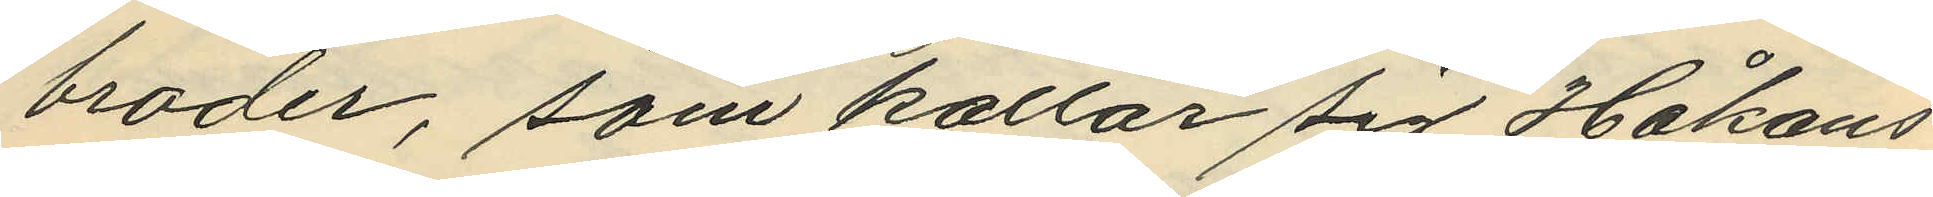broder, som kallar sig Håkans¬
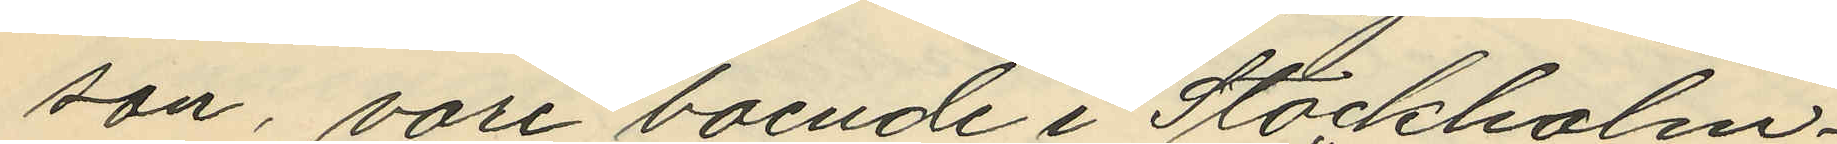son, vore boende i Stockholm.
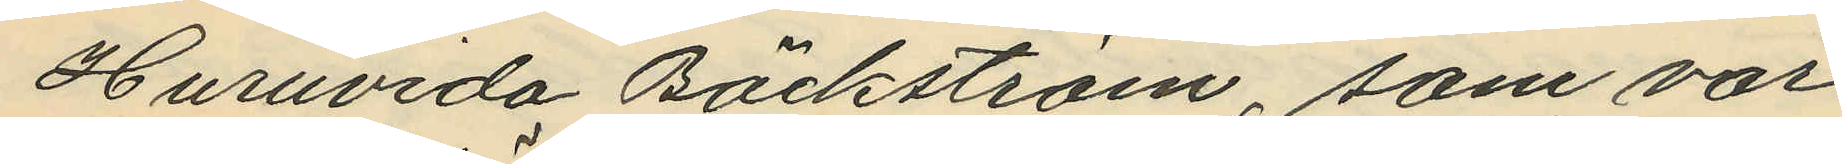Huruvida Bäckström, som var
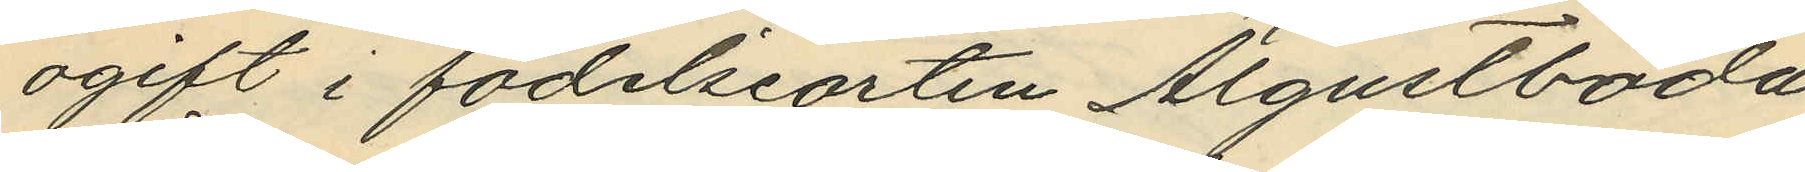ogift i födelseorten Algustboda
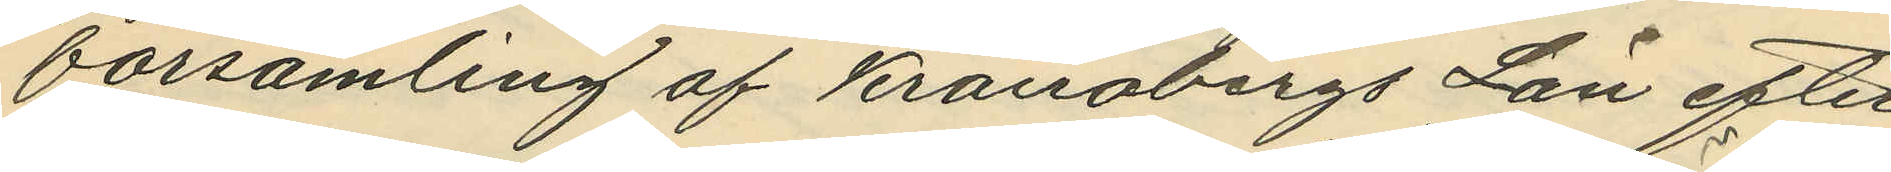församling af Kronobergs Län efter
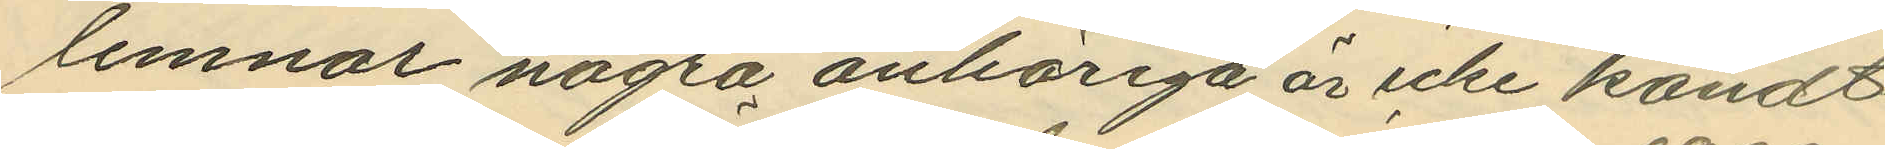lemnar några anhöriga är icke kändt.
